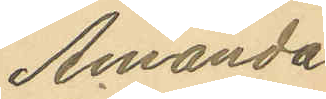Amanda
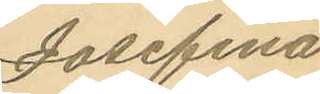Josefina
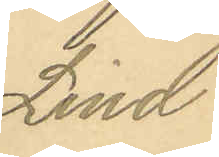Lind
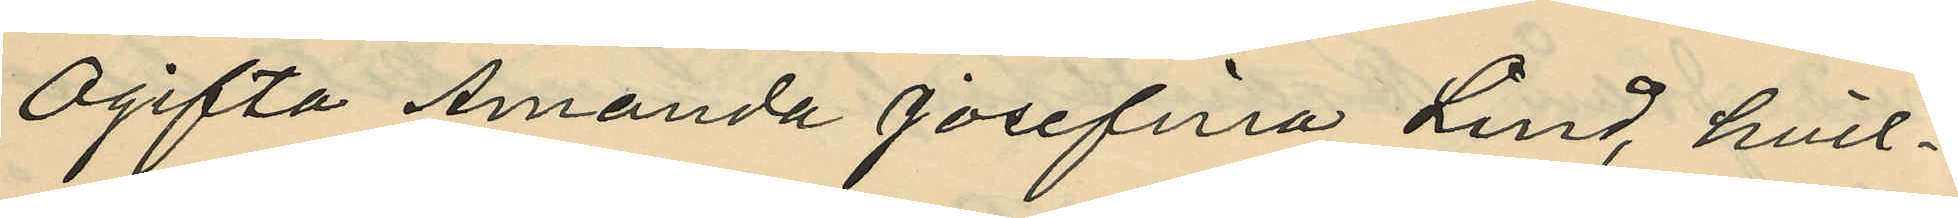Ogifta Amanda Josefina Lind, hvil¬
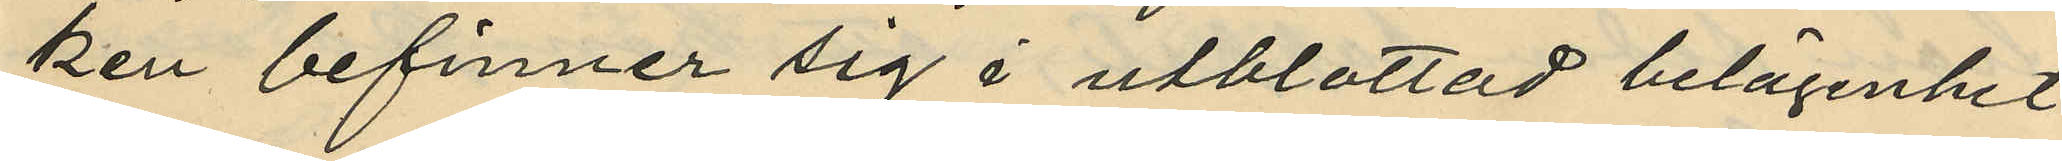ken befinner sig i utblottad belägenhet
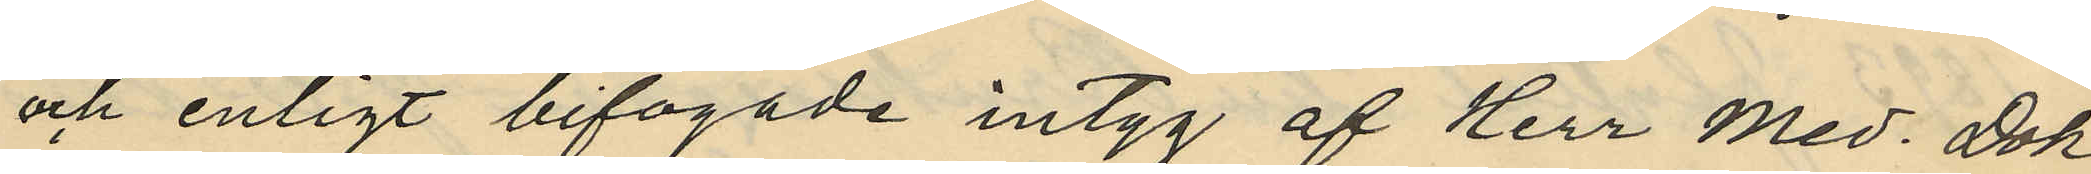och enligt bifogade intyg af Herr Med. Dok¬
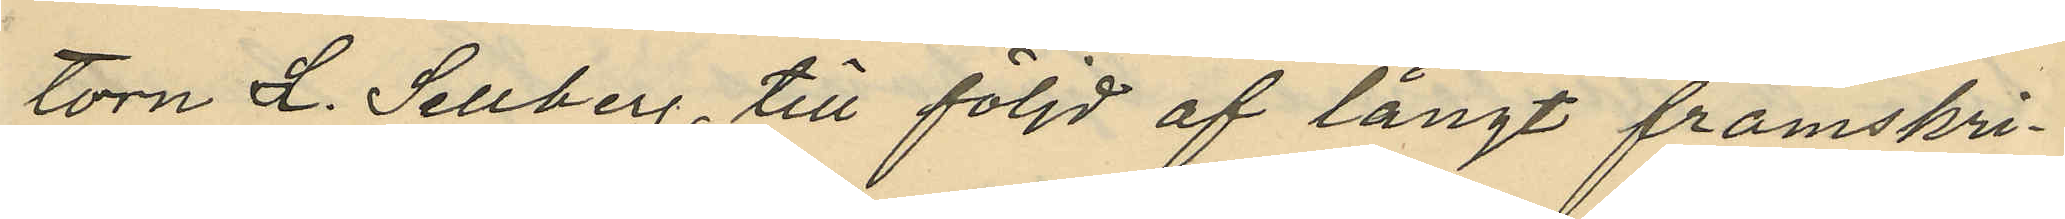torn L. Sellberg till följd af långt framskri¬
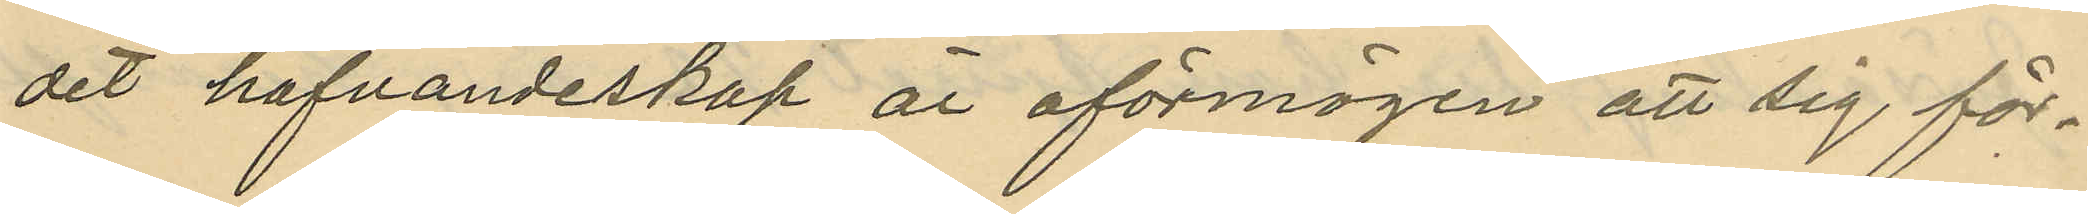det hafvandeskap är oförmögen att sig för¬
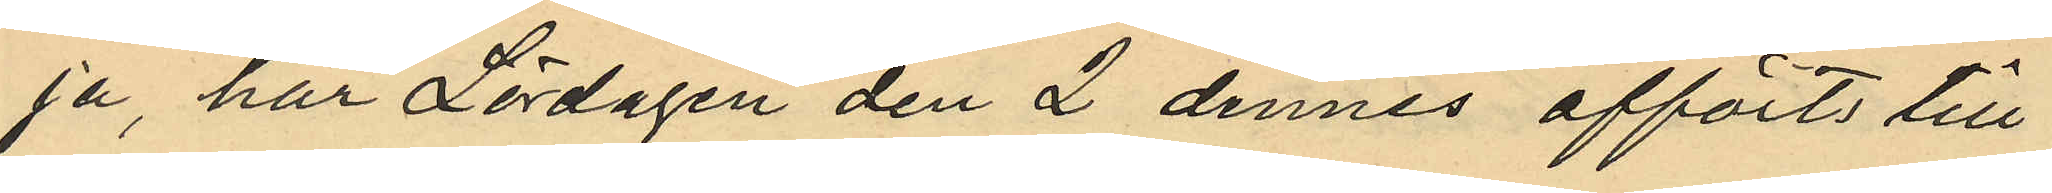ja, har Lördagen den 2 dennes afförts till
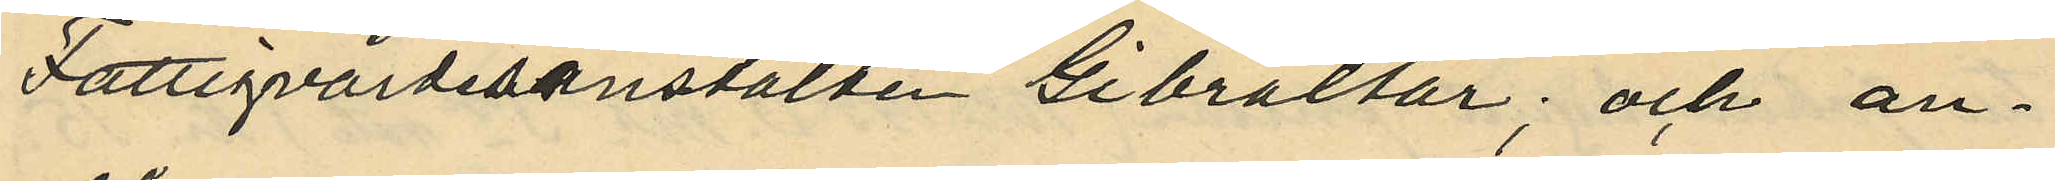Fattigvårdsanstalten Gibraltar; och an¬
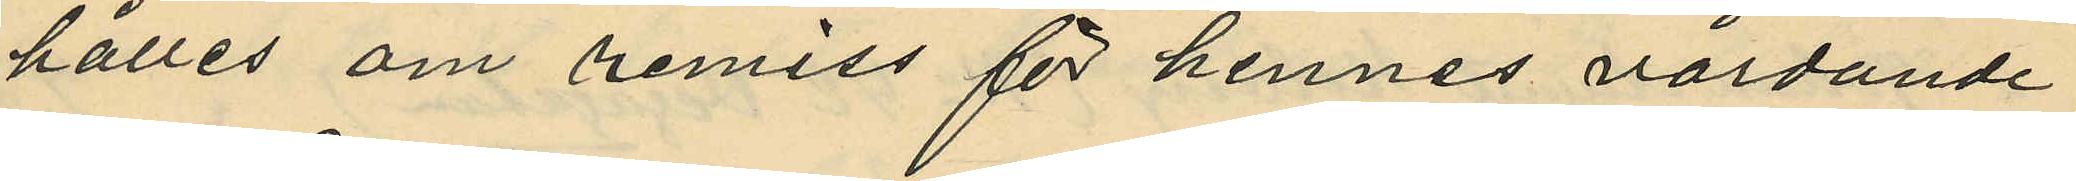hålles om remiss för hennes vårdande
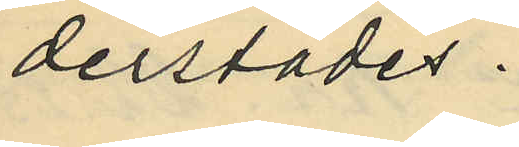derstädes.
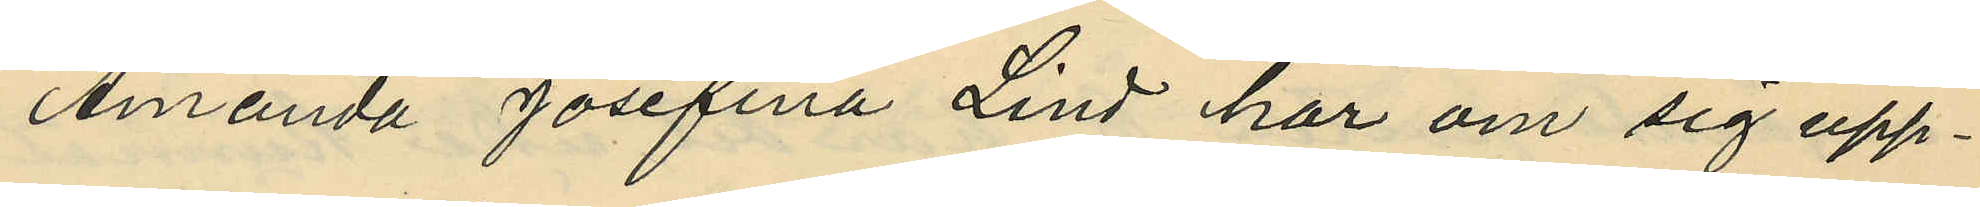Amanda Josefina Lind har om sig upp¬
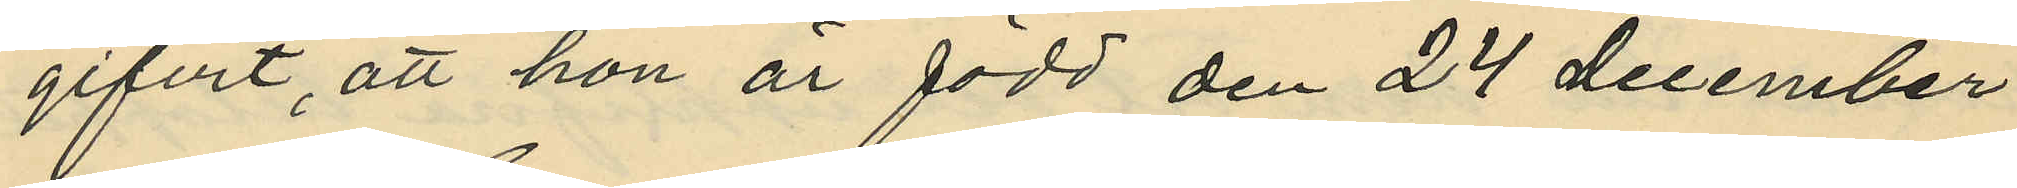gifvit, att hon är född den 24 december
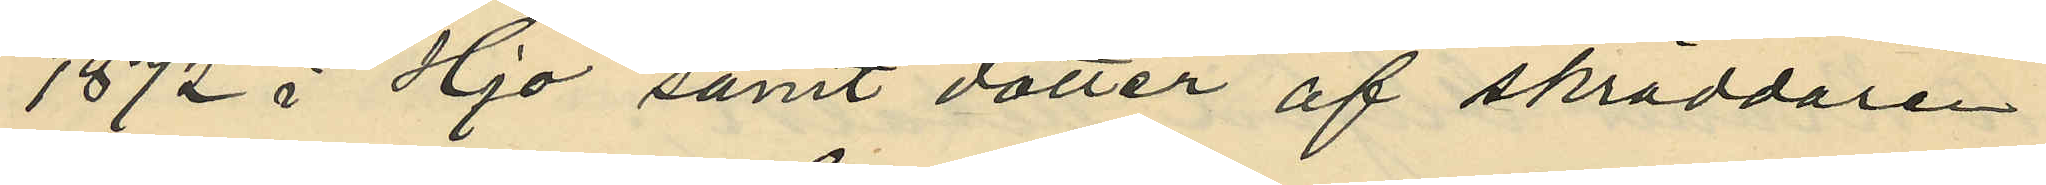1872 i Hjo samt dotter af skräddaren
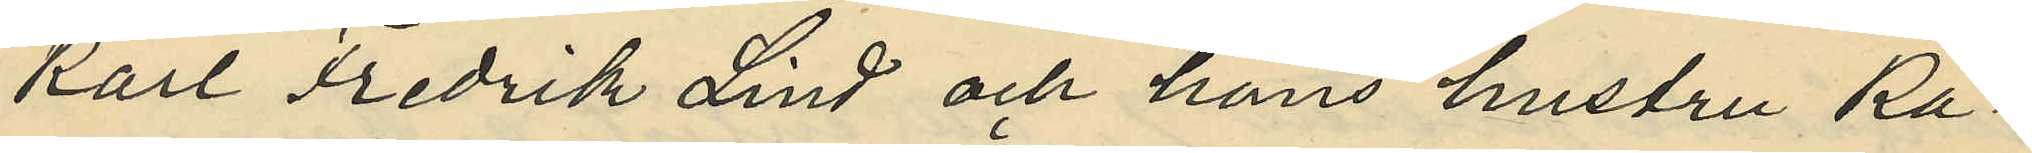Karl Fredrik Lind och hans hustru Ka¬
